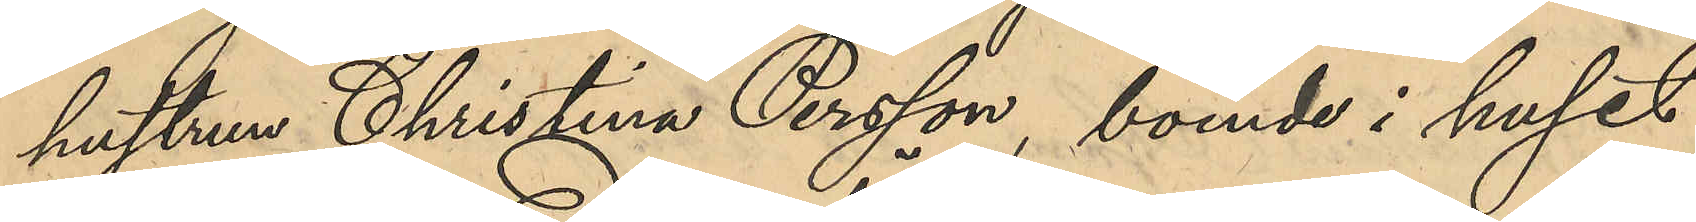hustrun Christina Persson, boende i huset
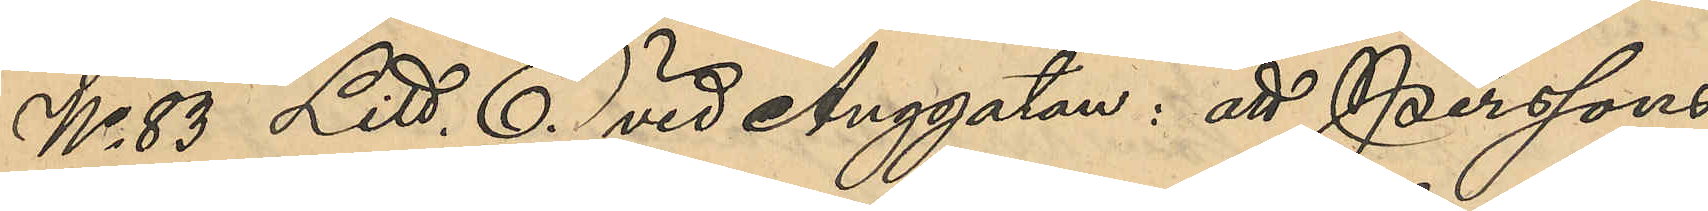No 83 Litt. E. vid Änggatan: att Perssons
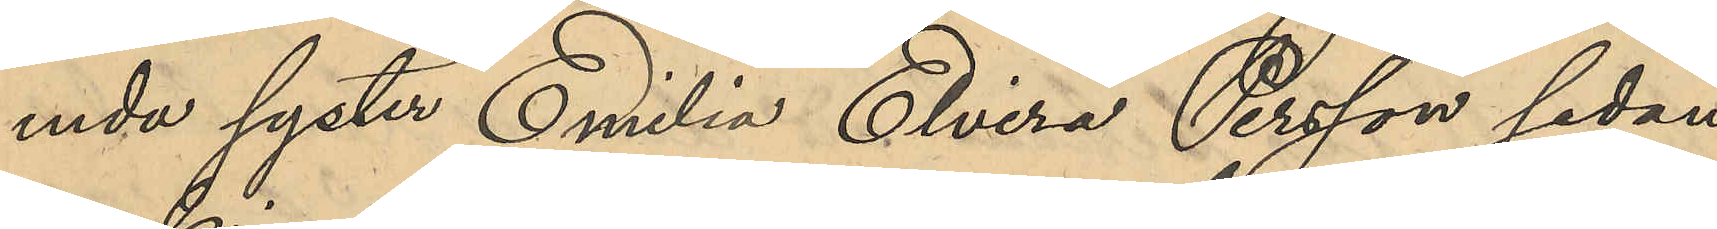enda syster Emilia Elvira Persson sedan
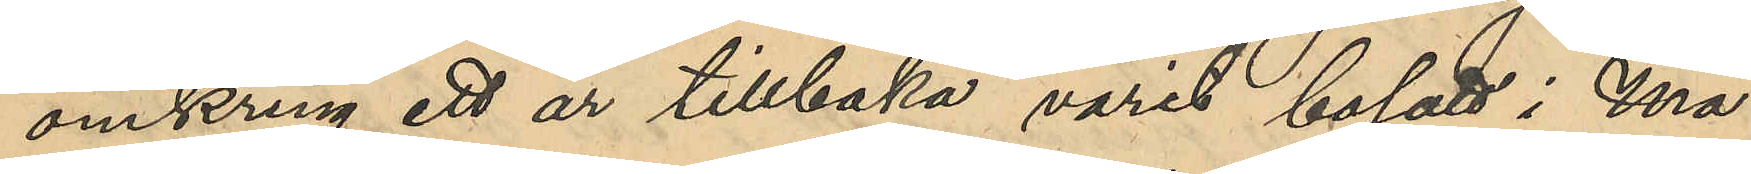omkring ett år tillbaka varit bosatt i Ma¬
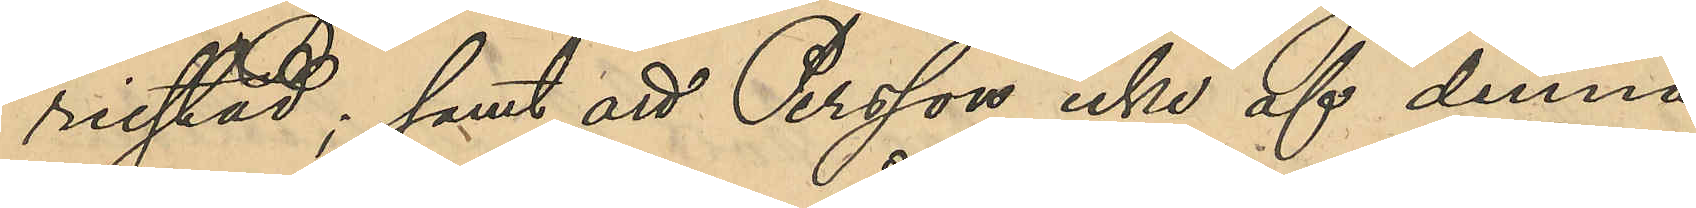riestad; samt att Persson icke af denna
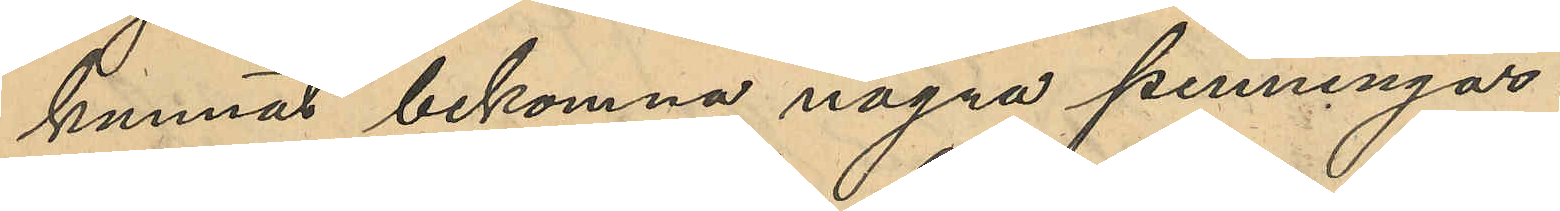kunnat bekomna några penningar.
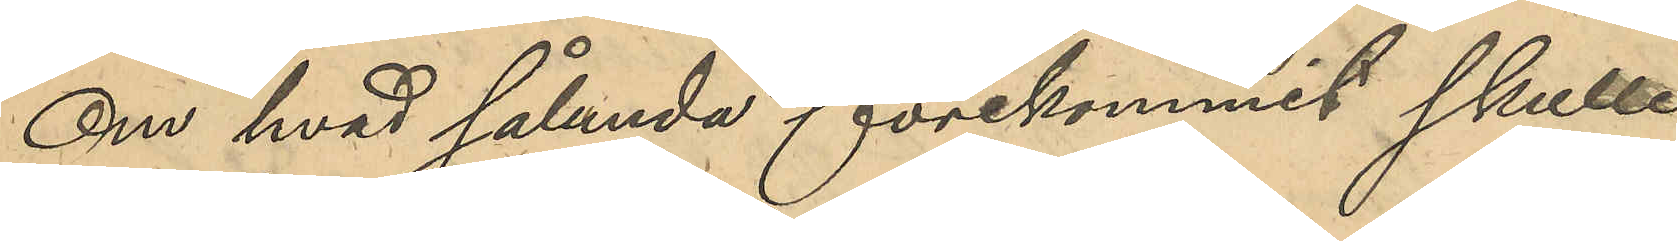Om hvad sålunda förekommit skulle
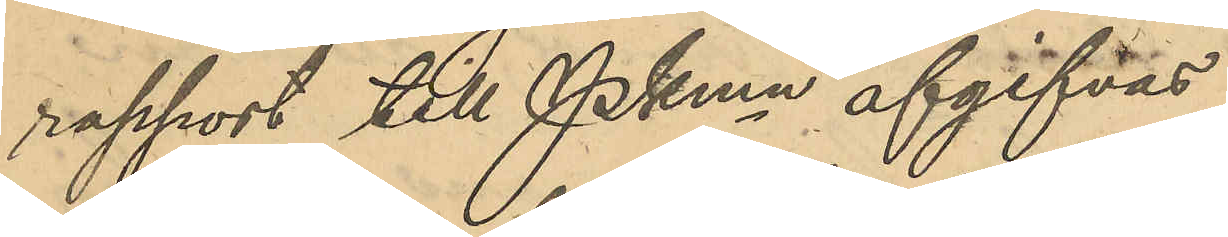rapport till PKmn afgifvas.
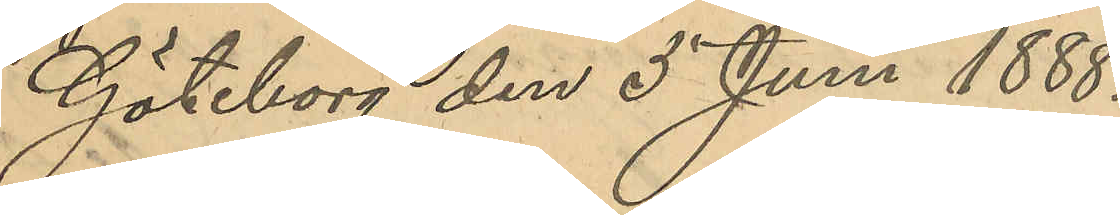Göteborg den 5 Juni 1888.
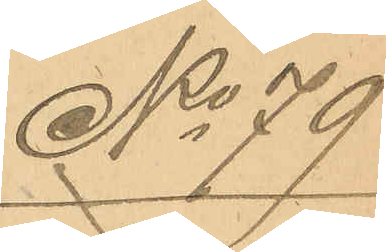No 79
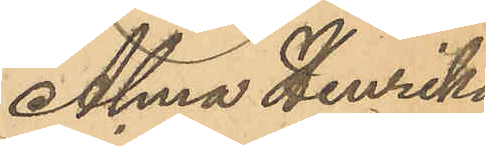Alma Henrika
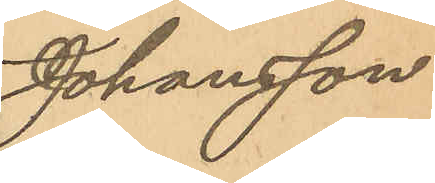Johansson.
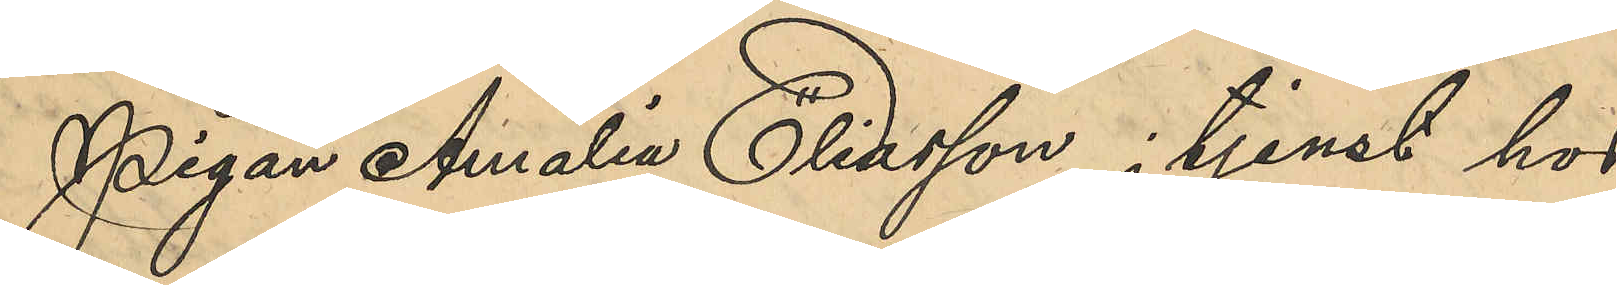Pigan Amalia Eliasson, i tjenst hos
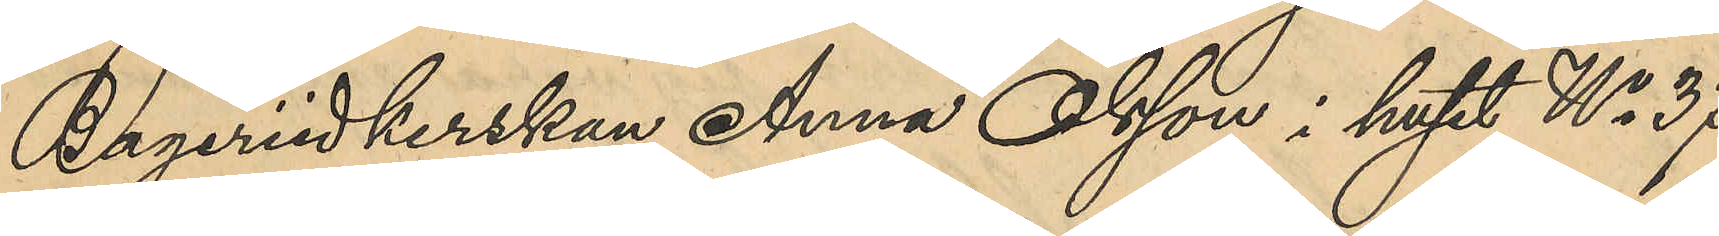Bageriidkerskan Anna Olsson i huset No 37
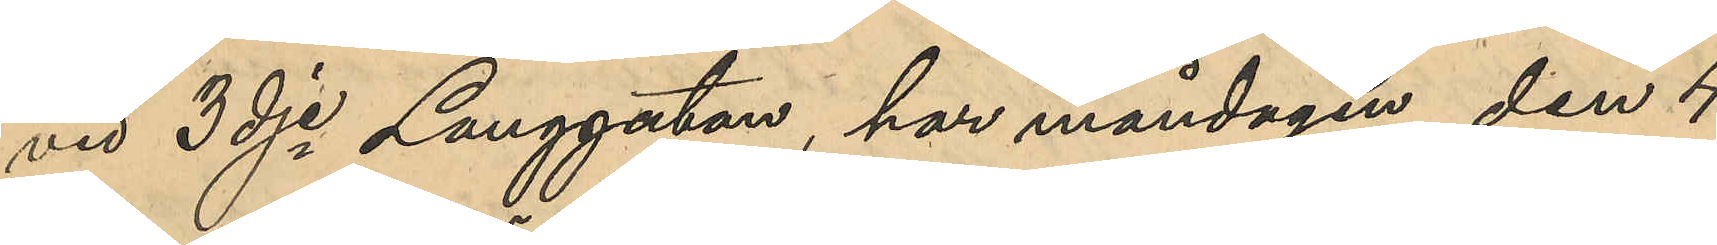vid 3dje Langgatan, har måndagen den 4
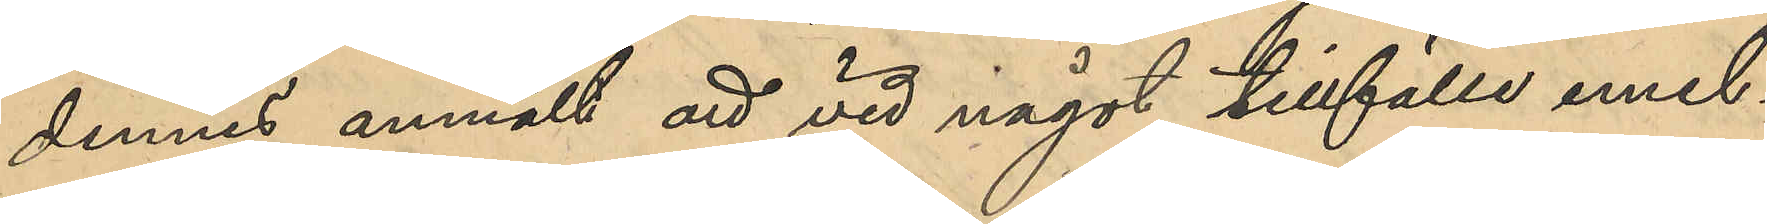dennes anmält att vid något tillfälle emel¬
